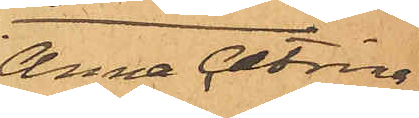Anna Catrina
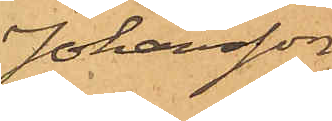Johansson
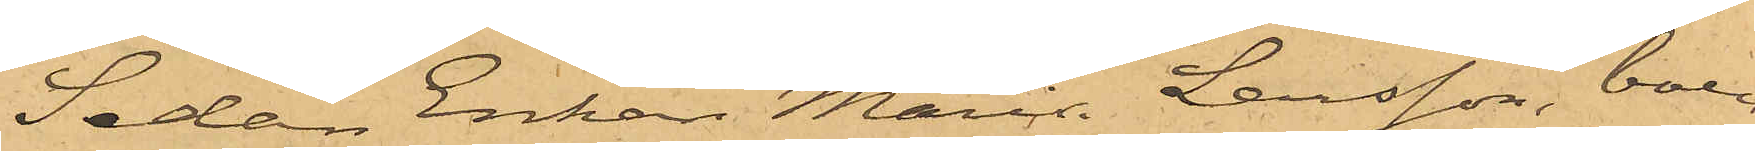Sedan Enkan Maria Larsson, boen¬
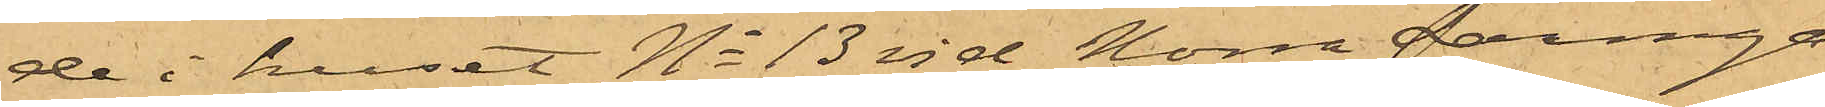de i huset No 13 vid Norra Larmga¬
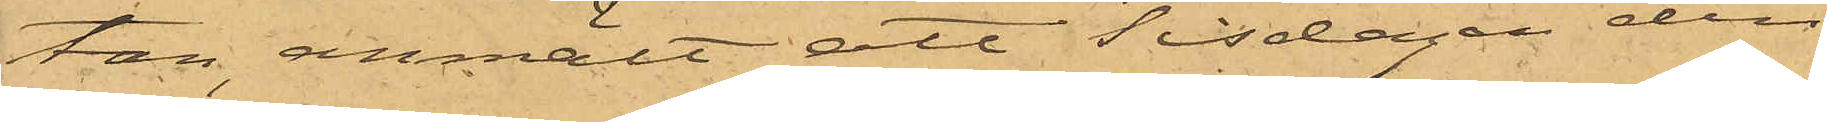tan, anmält att Tisdagen den
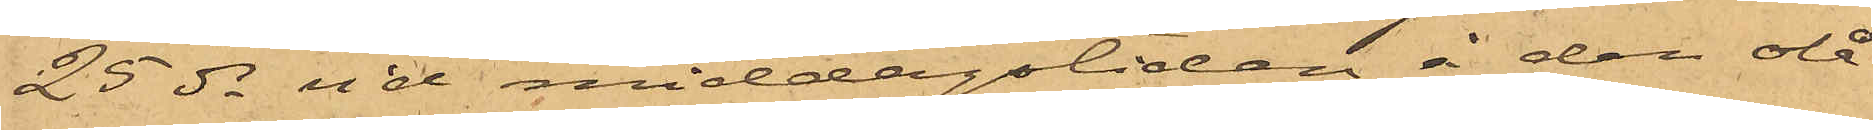25 ds vid middagstiden å den olå¬
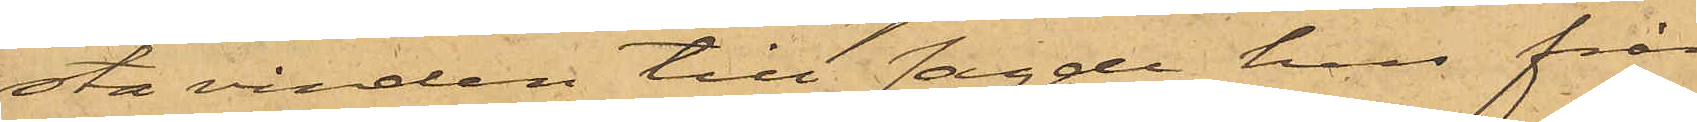sta vinden till sagde hus från
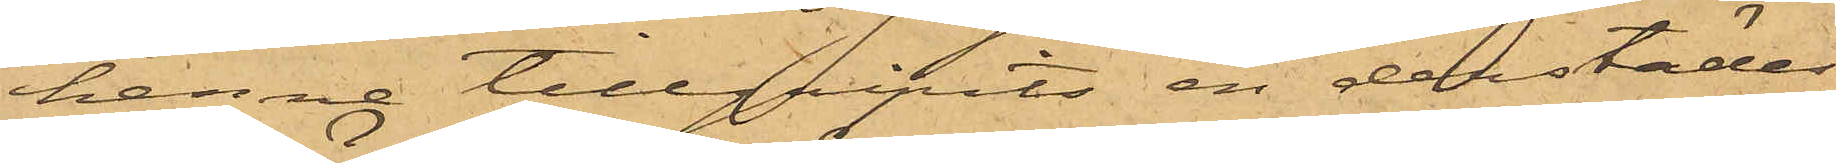henne tillgripits en derstädes
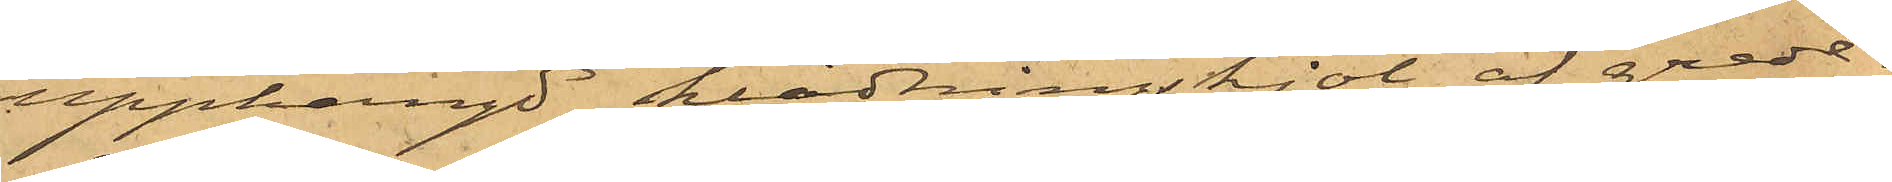upphängd klädningskjol af grede¬
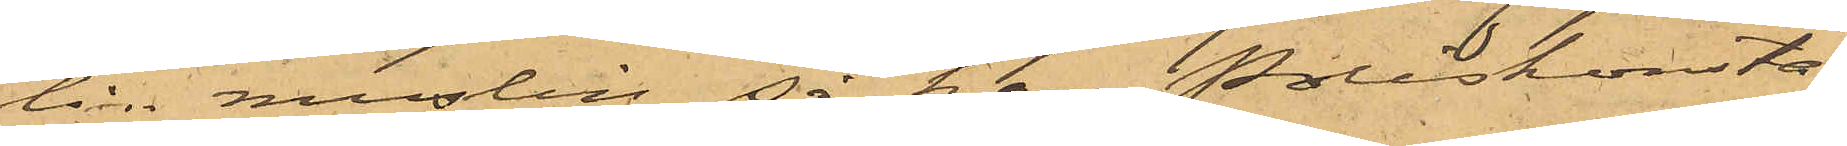lin muslin, så har Poliskonsta¬
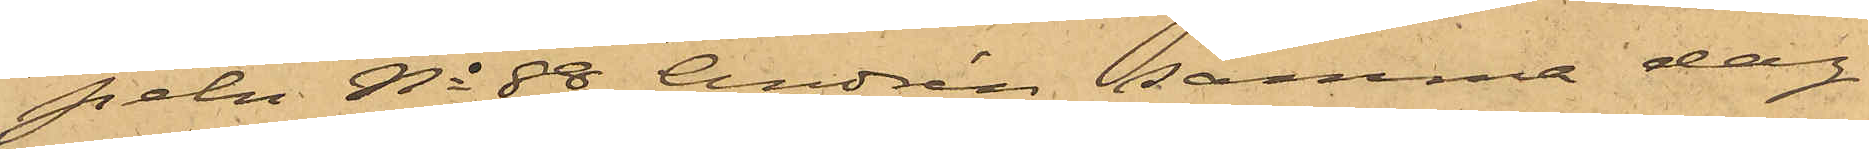peln No 88 Andrén samma dag
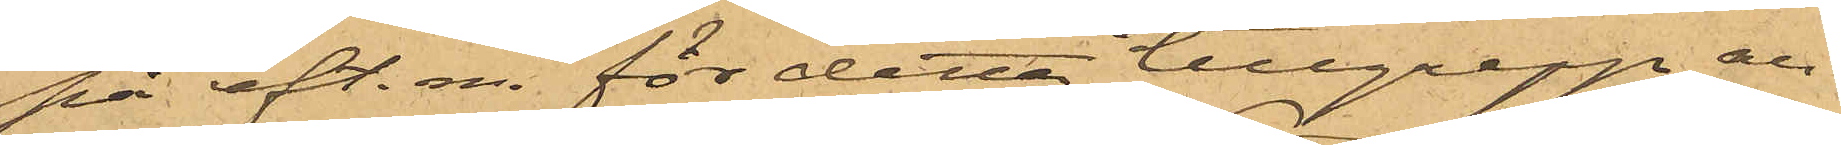på eft. m. för detta tillgrepp an¬
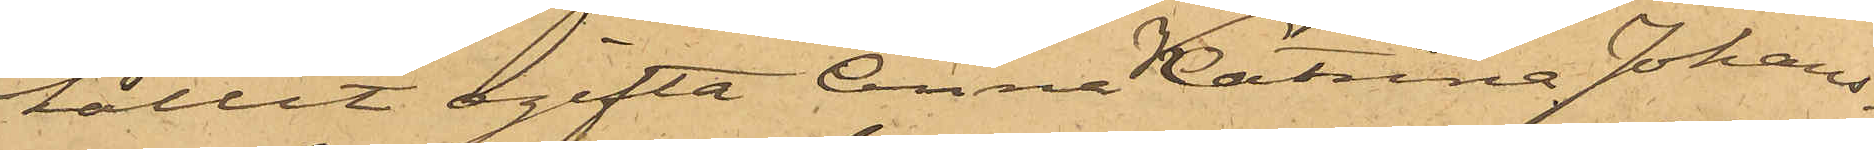hållit ogifta Anna Katrina Johans¬
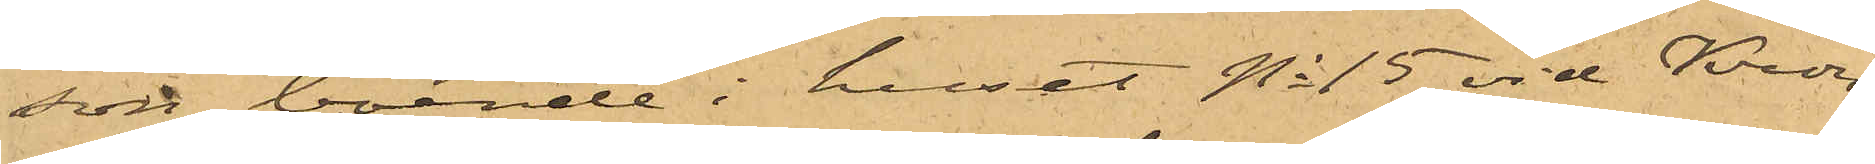son, boende i huset No 15 vid Kron¬
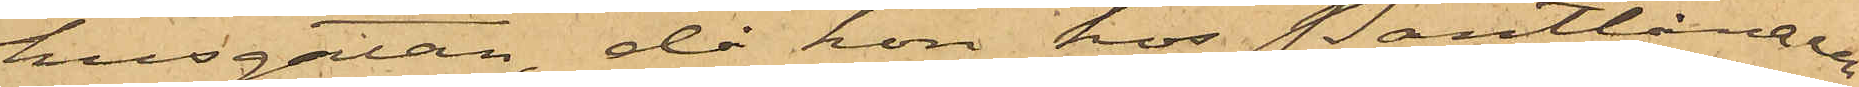husgatan, då hon hos Pantlånaren
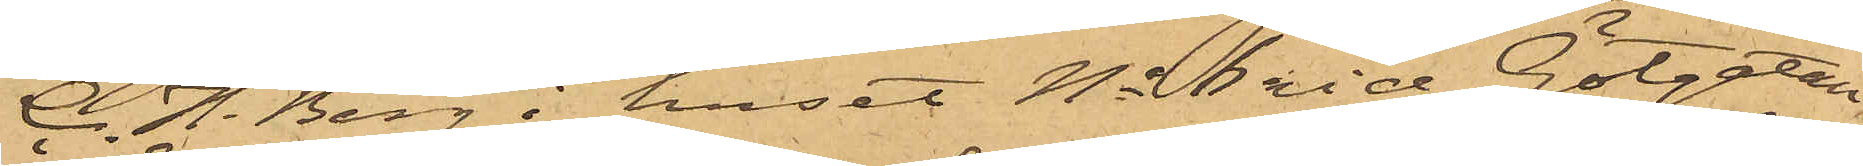C. H. Berg i huset No 6 vid Götgatan,
